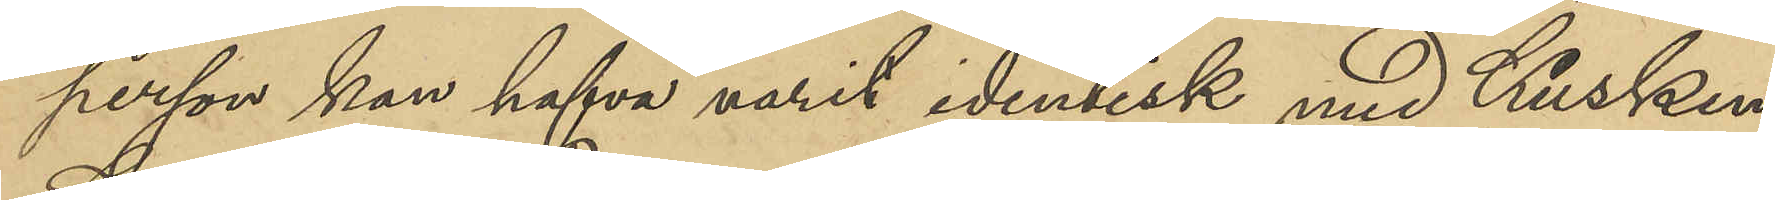person kan hafva varit identisk med Kusken
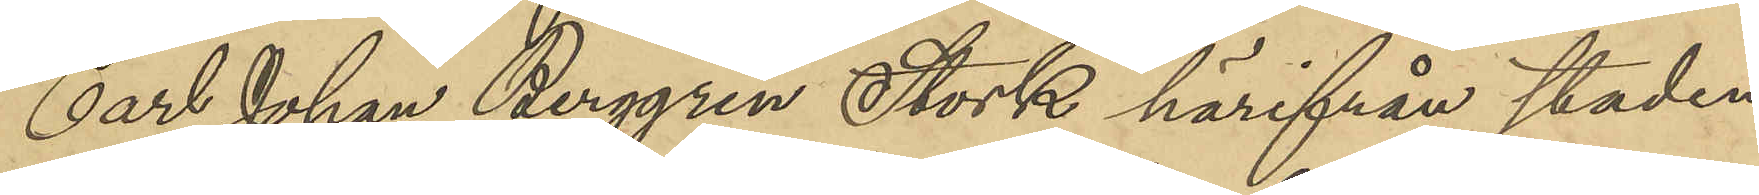Carl Johan Berggren Stork härifrån staden,
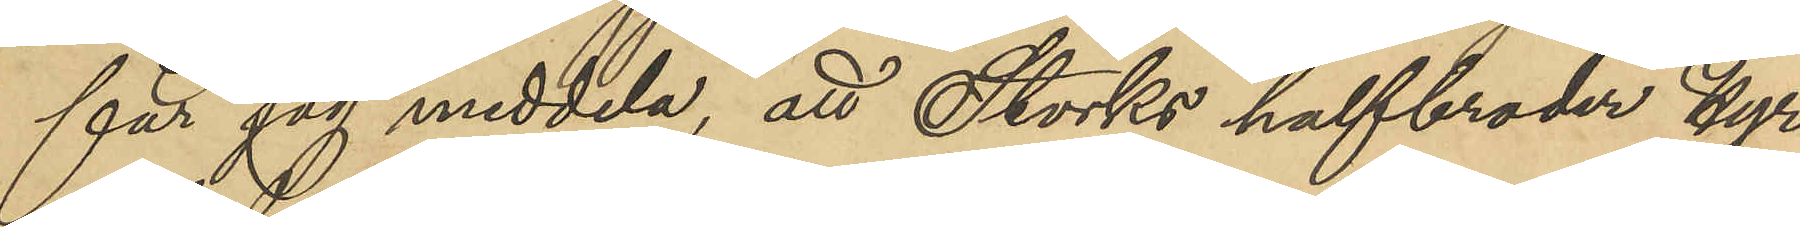får jag meddela, att Storks halfbroder Hyr¬
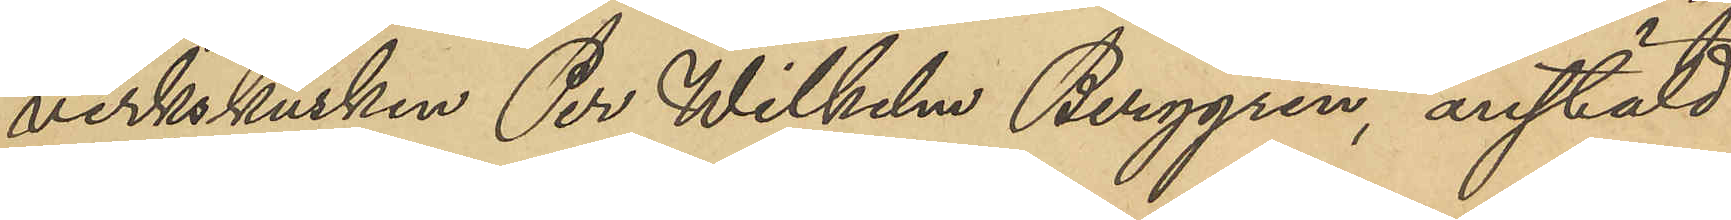verkskusken Per Wilhelm Berggren, anstäld
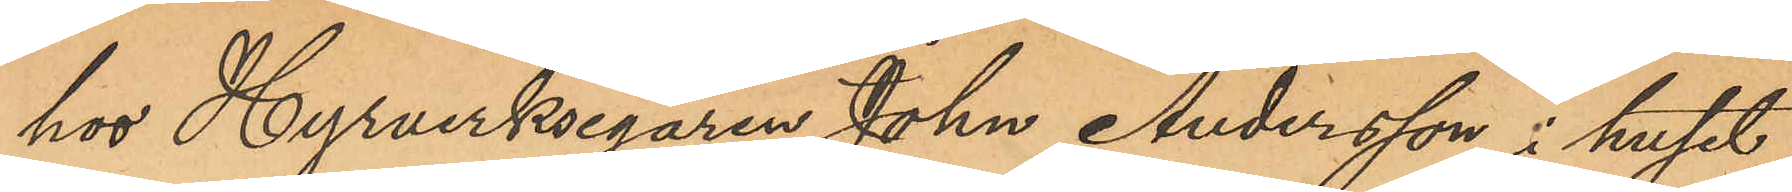hos Hyrverksegaren Johan Andersson i huset
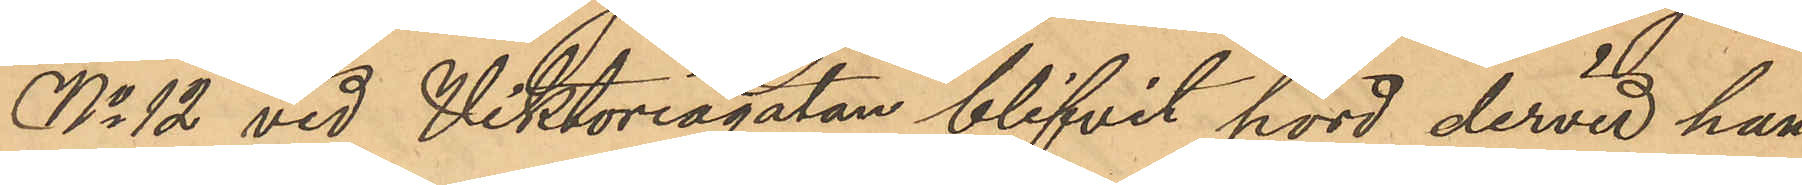No 12 vid Viktoriagatan blifvit hörd dervid han
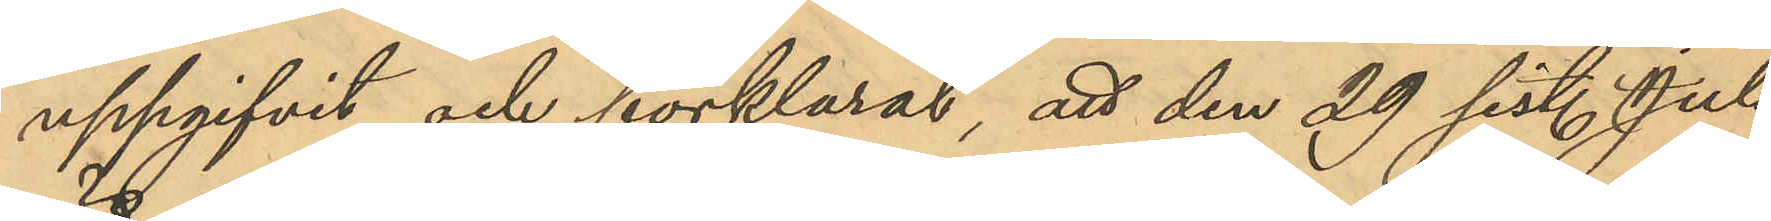uppgifvit och förklarat, att den 29 sist. Juli
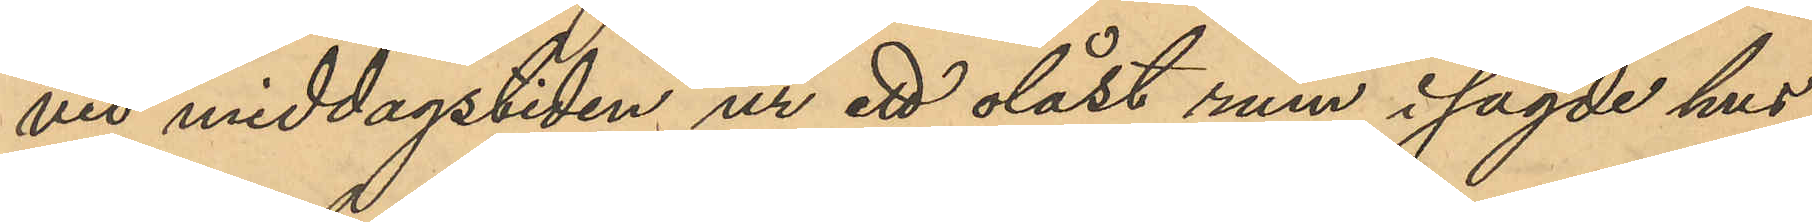vid middagstiden ur ett olåst rum i sagde hus
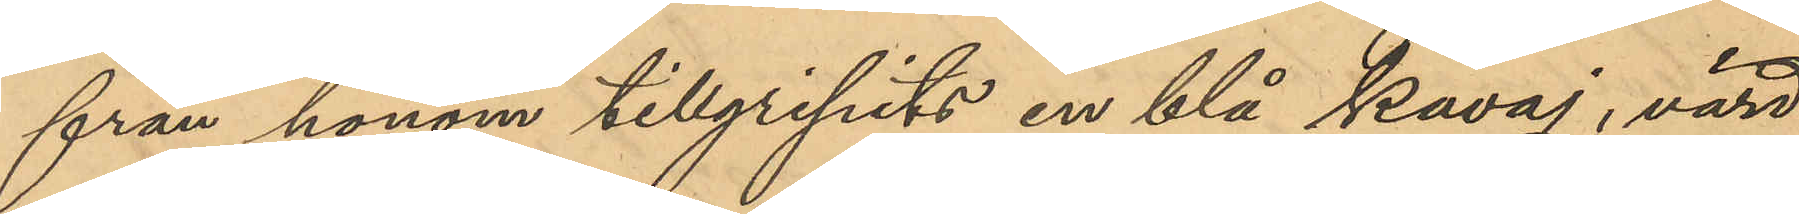från honom tillgripits en blå kavaj, värd
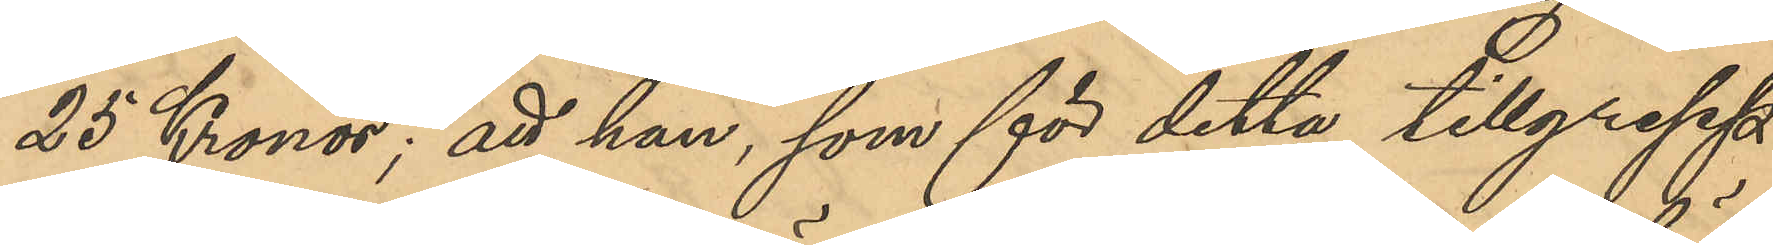25 Kronor; att han, som för detta tillgrepp
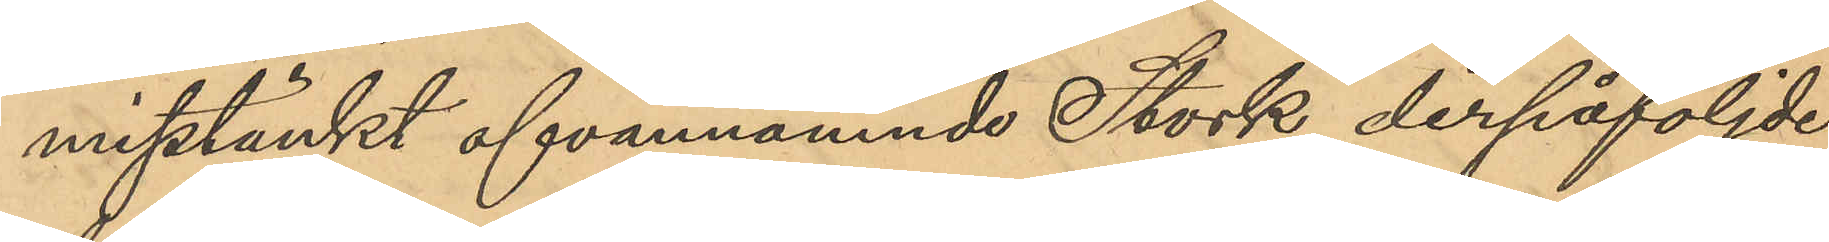misstänkt ofvannämnde Stork derpåföljde
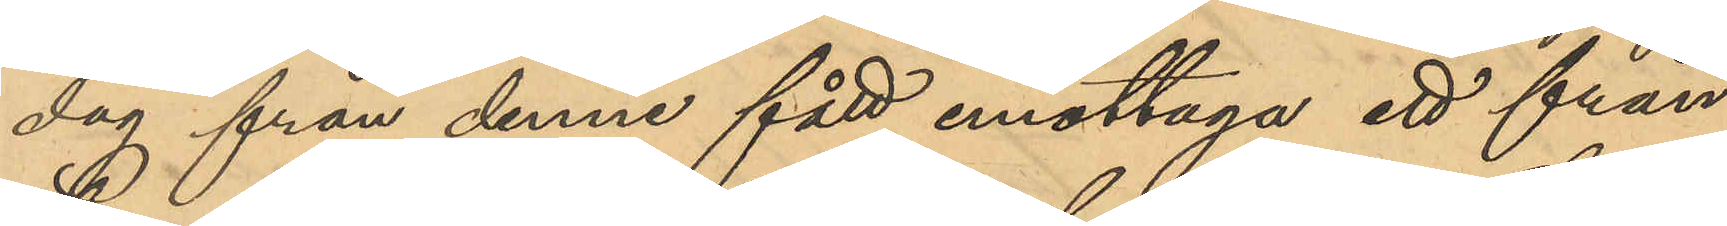dag från denne fått emottaga ett från
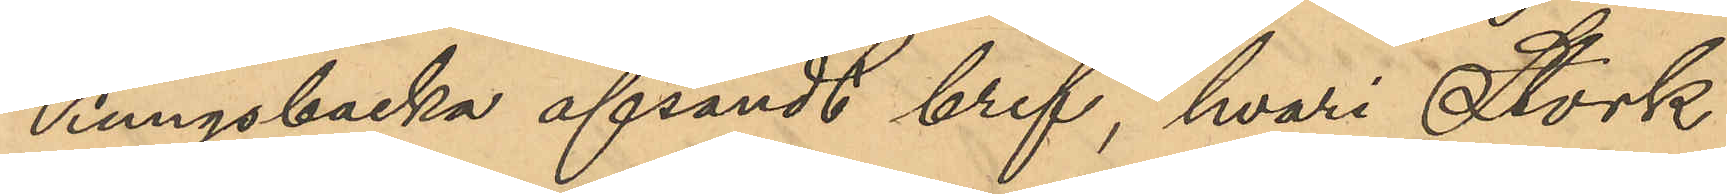Kungsbacka afsändt bref, hvari Stork
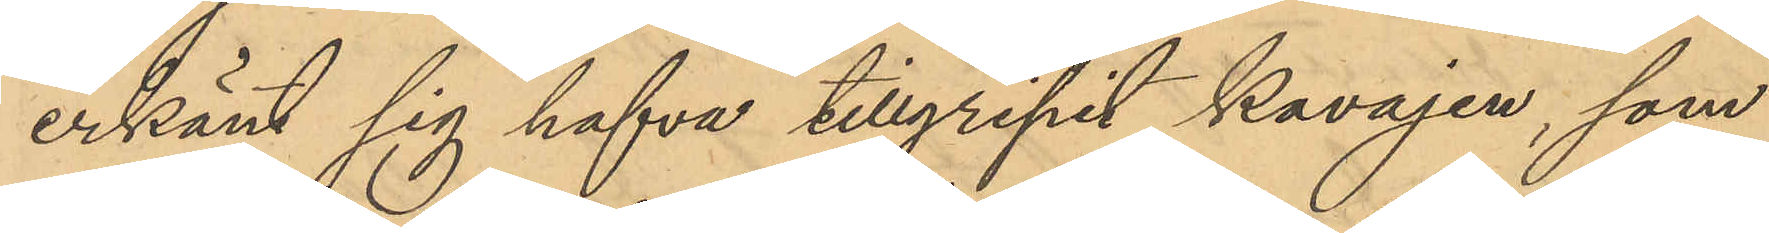erkänt sig hafva tillgripit kavajen, som
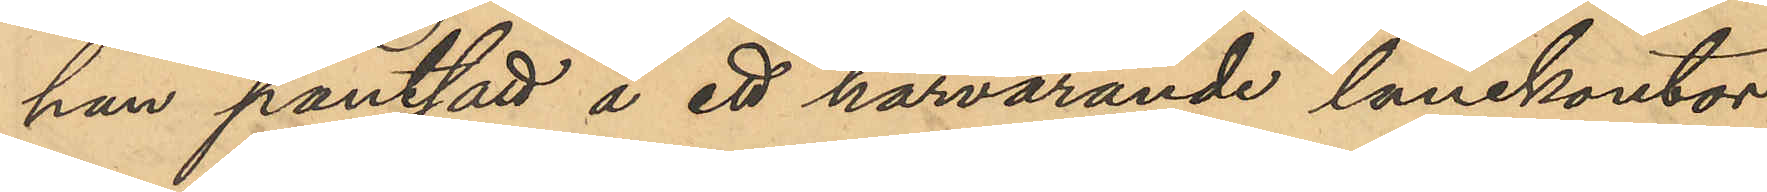han pantsatt å ett härvarande lånekontor;
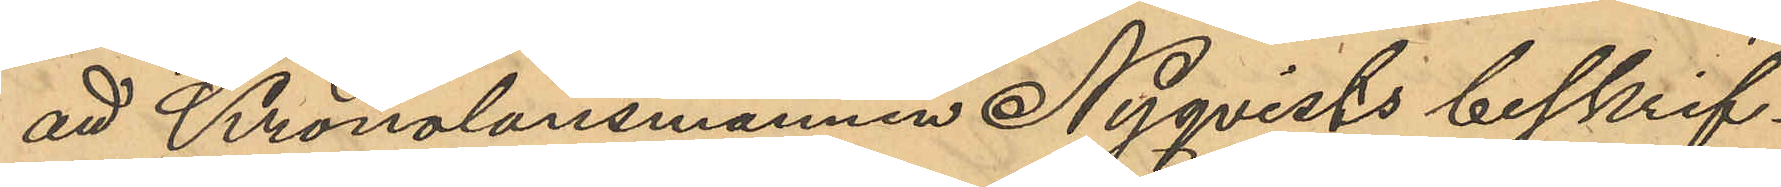att Kronolänsmannens Nyqvists beskrif¬
